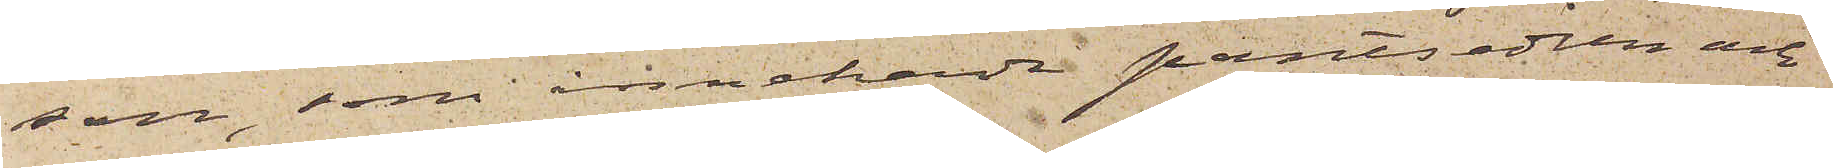son, som innehade pantsedlen och
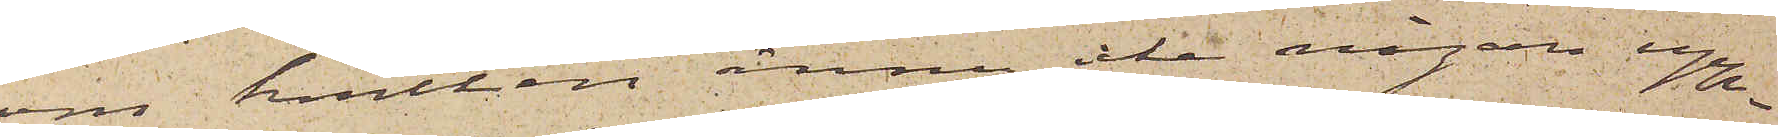om hvilken ännu icke någon upp¬
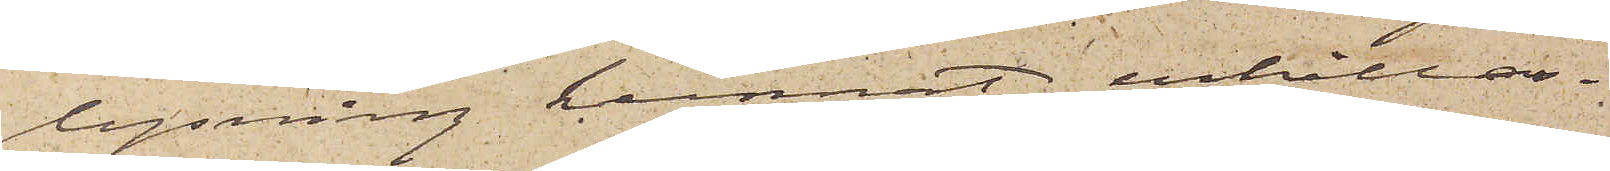lysning kunnat erhållas.
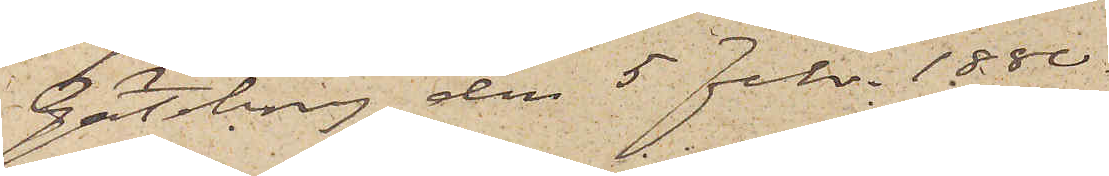Göteborg den 5 Febr. 1880.
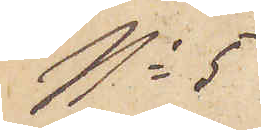No 5
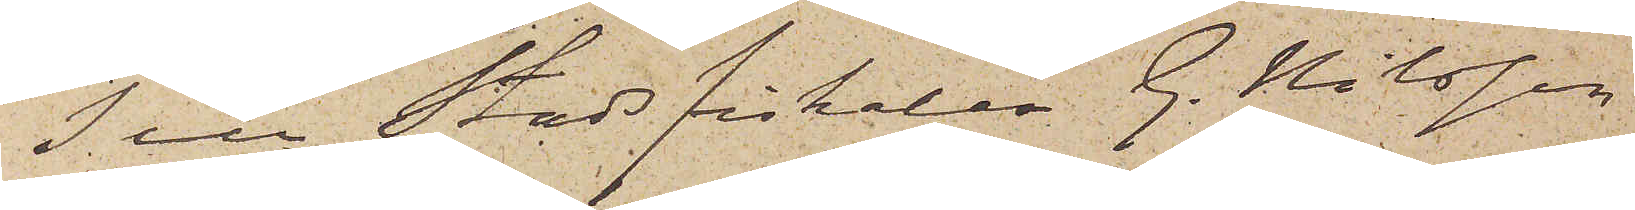Till Stadsfiskalen G. Nilsson,
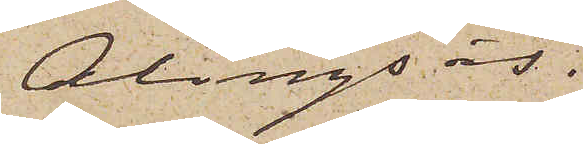Alingsås.
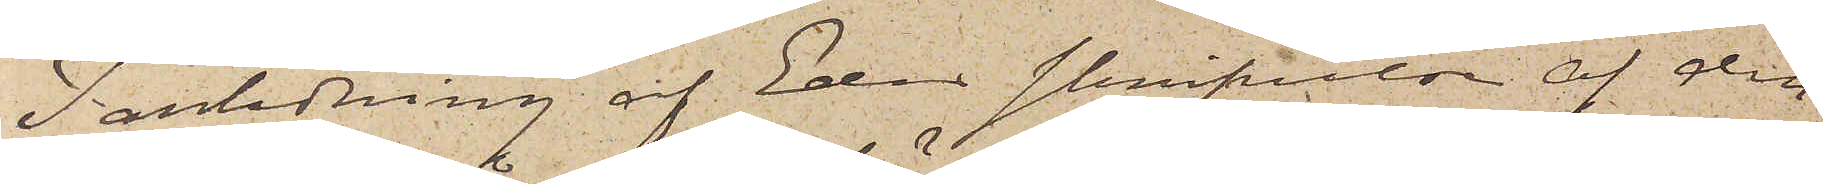I anledning af Eder skrifvelse af den
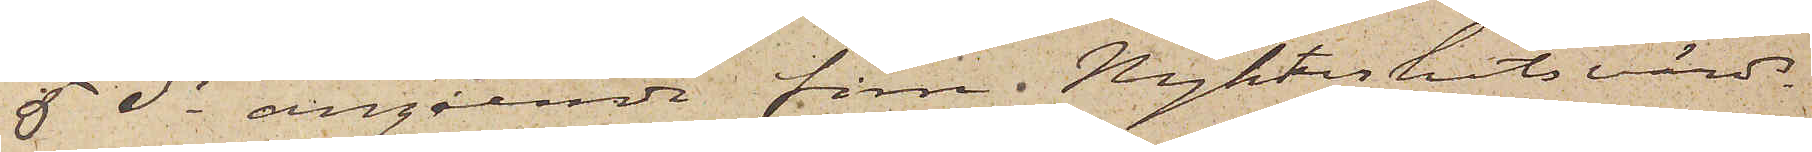5 ds angående förre Nykterhetsvärd¬
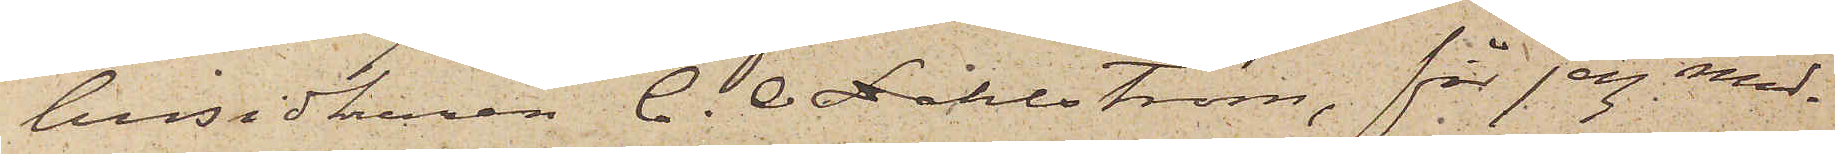husidkaren C. O. Dahlström, får jag med¬
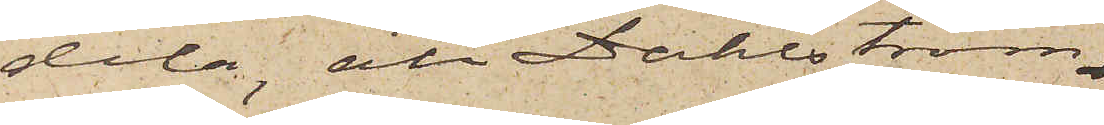dela, att Dahlström
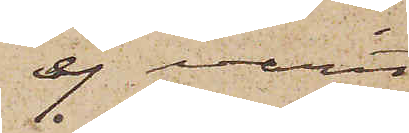ej varit
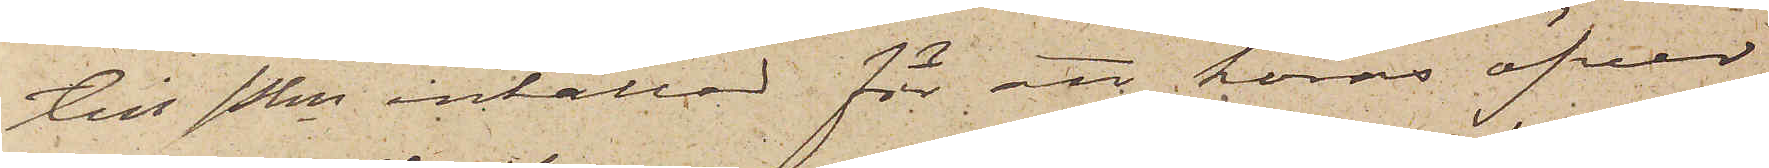till Pkn inkallad för att höras öfver
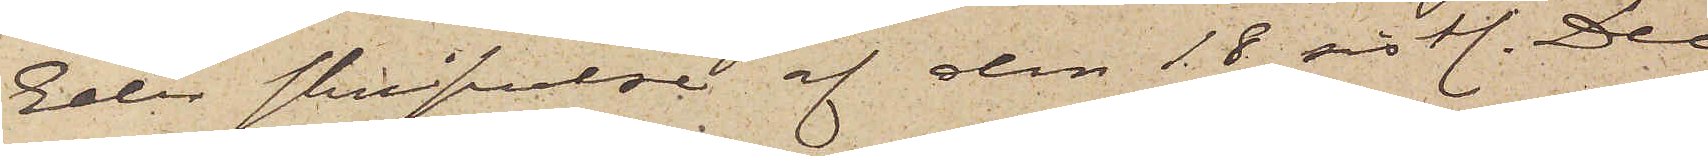Eder skrifvelse af den 18 sistl. Dec.
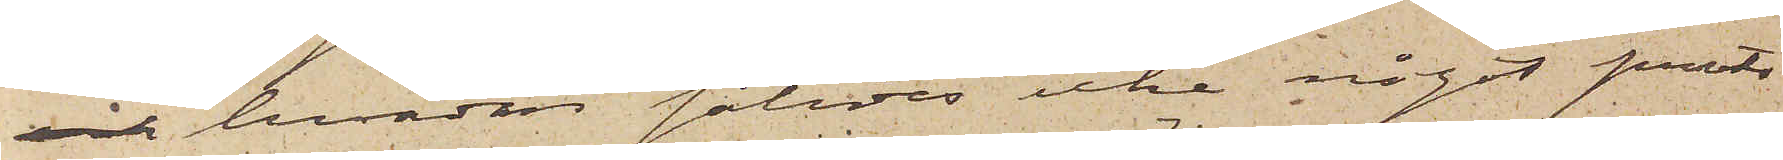och hvadan således icke något proto¬
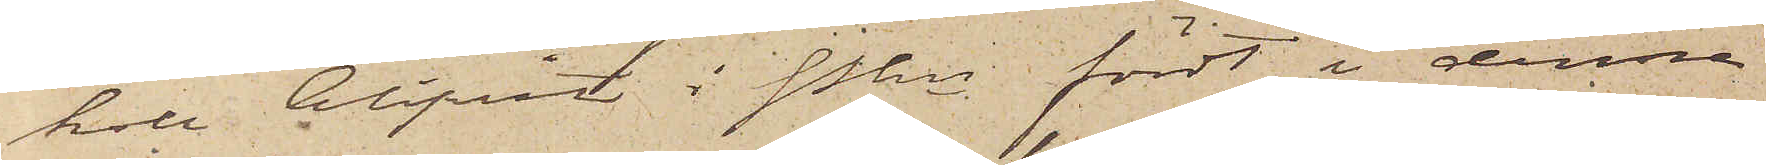koll blifvit i Pkn fördt i denna
